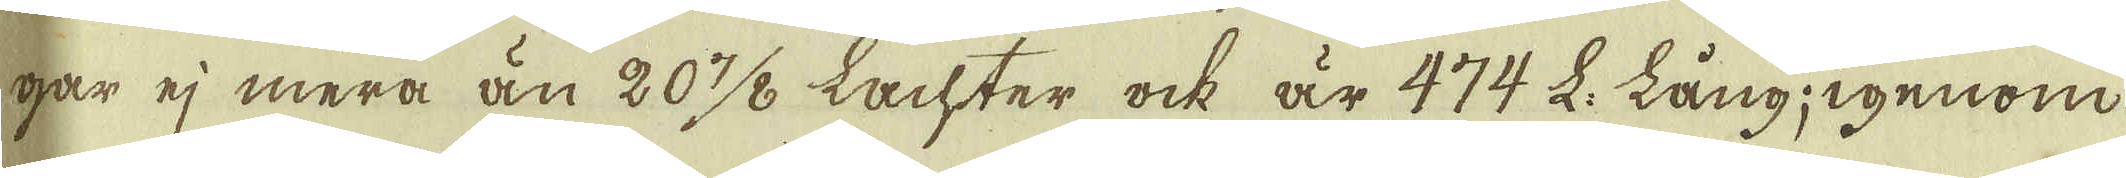gar ej mera än 20 7/8 Lachter ock är 474 L. lång igenom
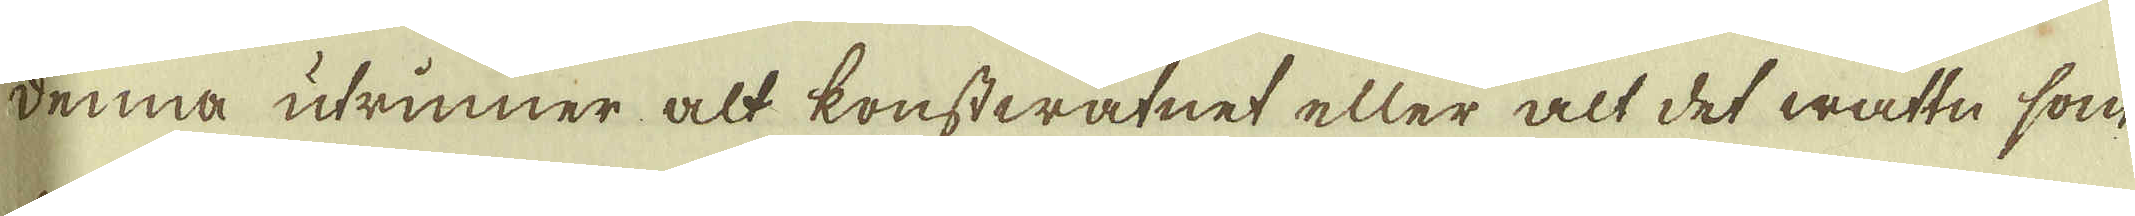denna utrinner alt konstwatnet eller alt det wattn, som
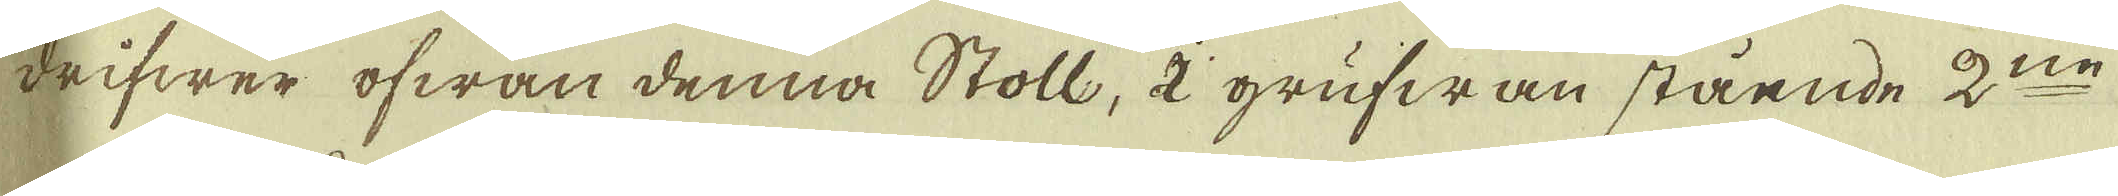drifwer ofwan denna Stoll, i grufwan stående 2:ne
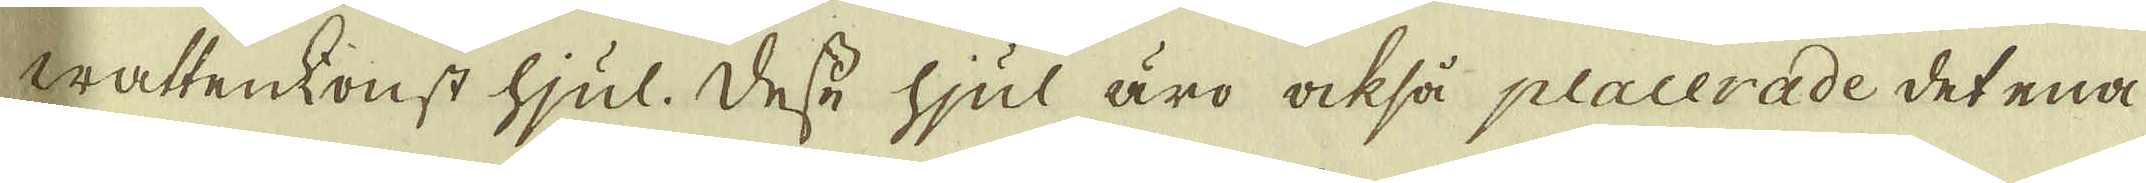wattenkonst hjul. Desse hjul äro också placerade det ena
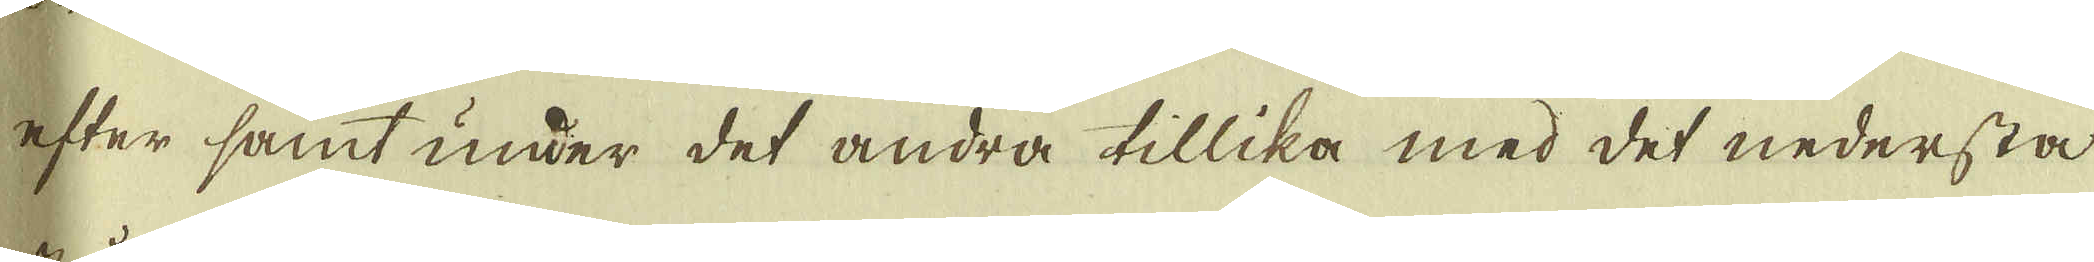efter samt under det andra tillika med det nedersta
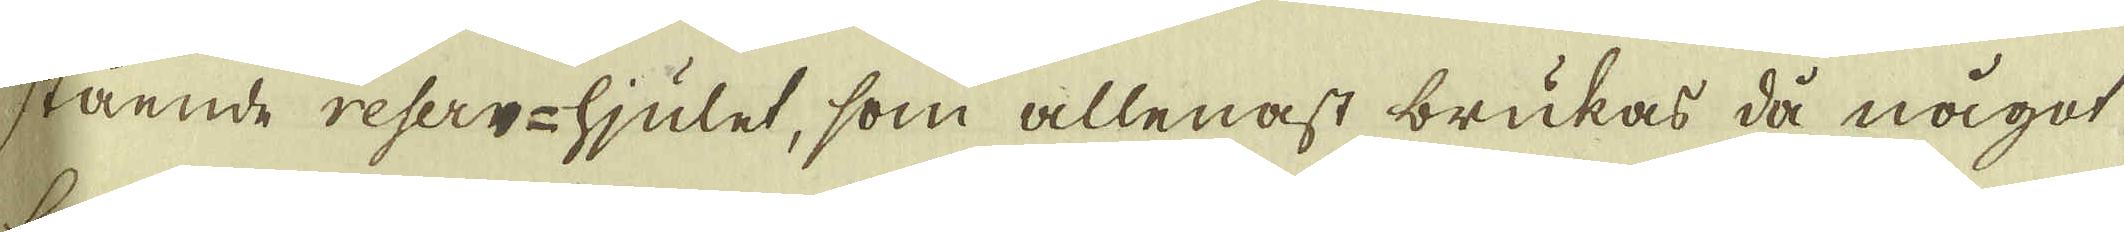stående reserv-hjulet, som allenast brukas då något
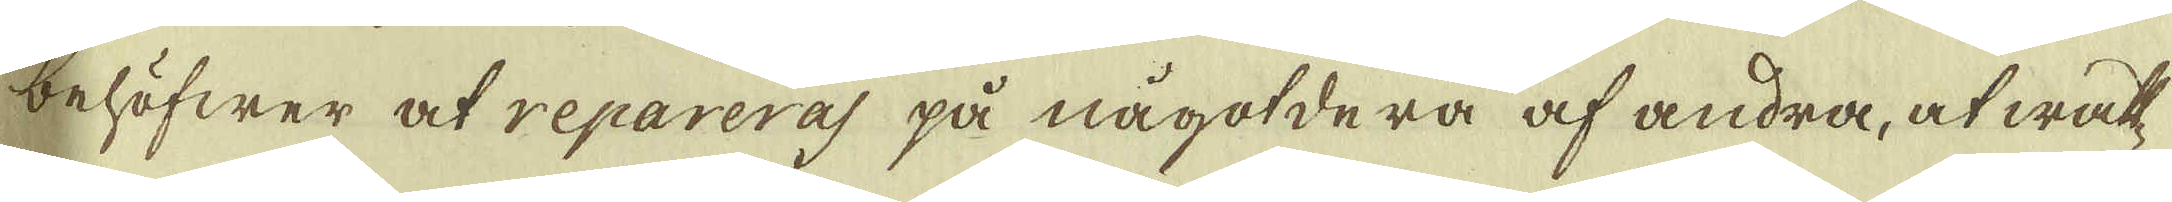behöfwer at repareras på någotdera af andra, at watt-
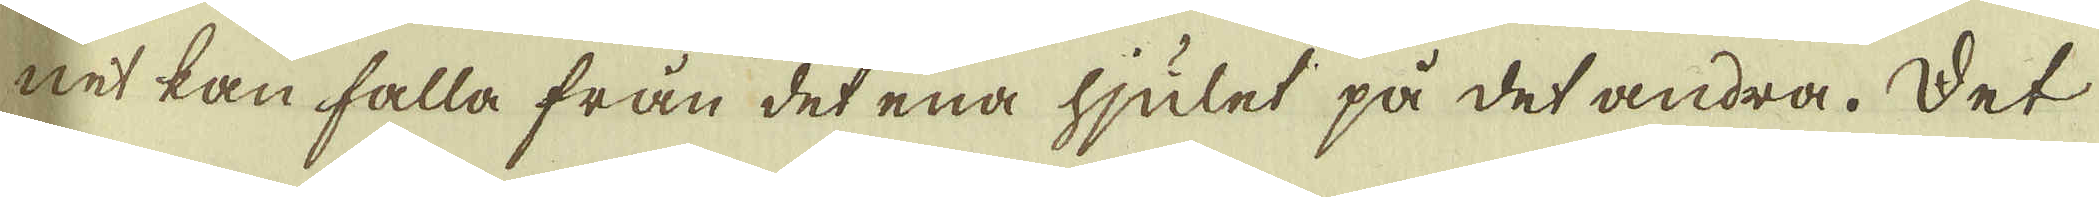net kan falla från det ena hjulet på det andra. Det
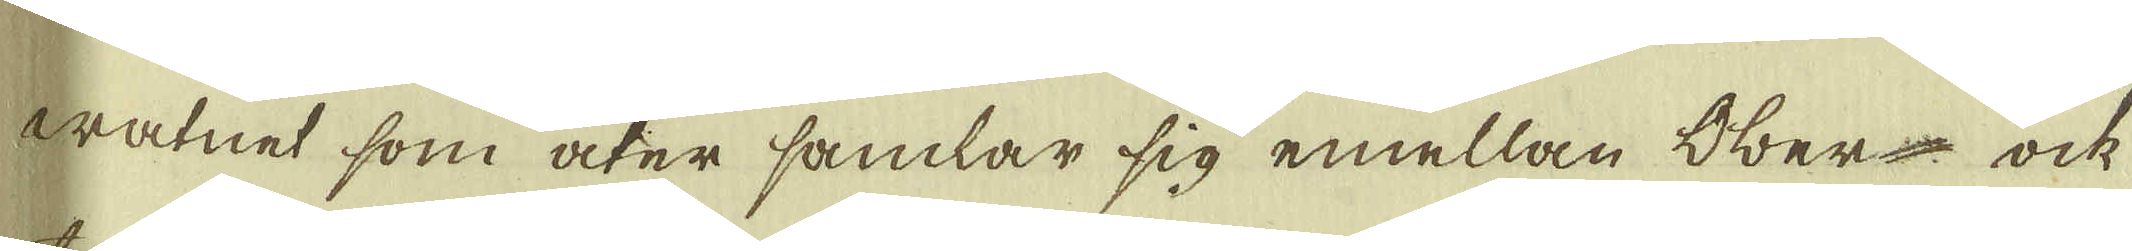watnet som åter samlar sig emellan Ober- ock
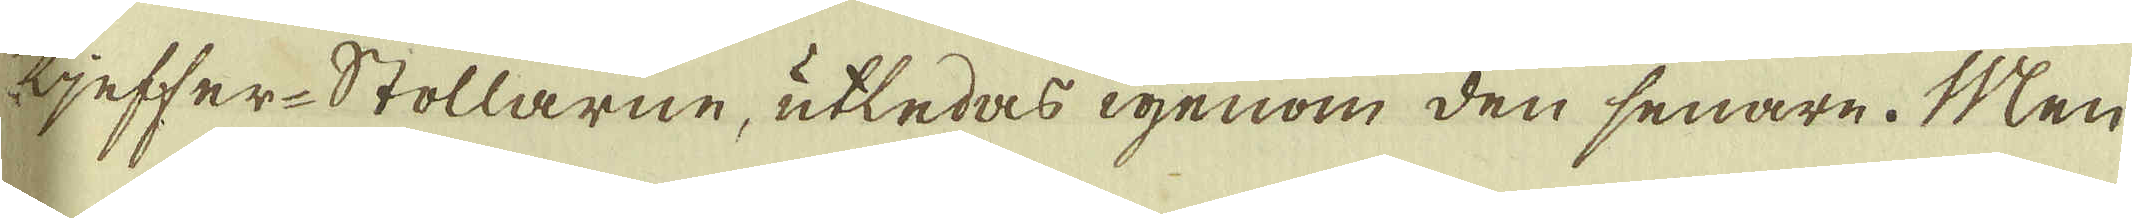tjeffer-Stollarne, utledas igenom den senare. Men
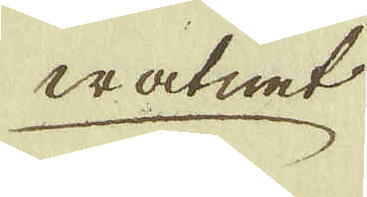watnet
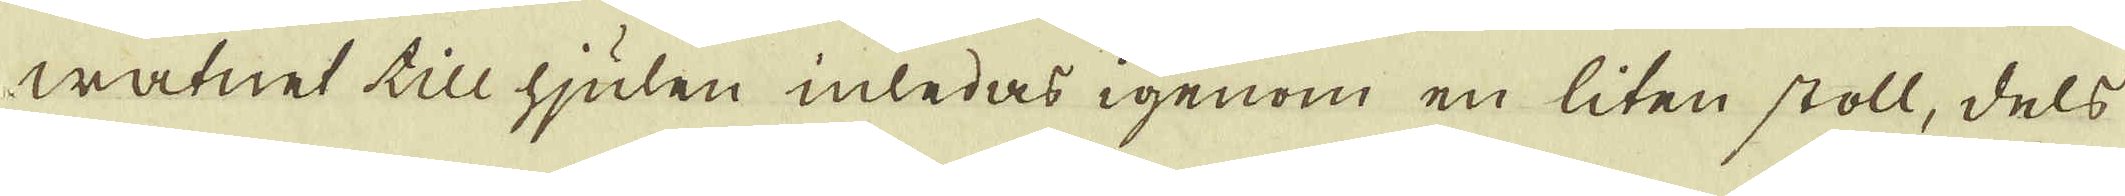watnet till hjulen inledas igenom en liten stoll, dels
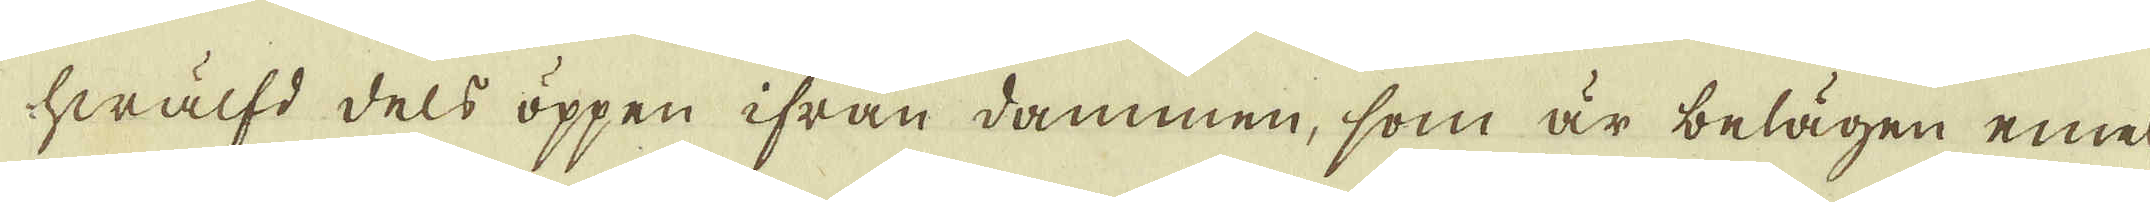hwälfd dels öppen ifrån dammen, som är belägen emel-
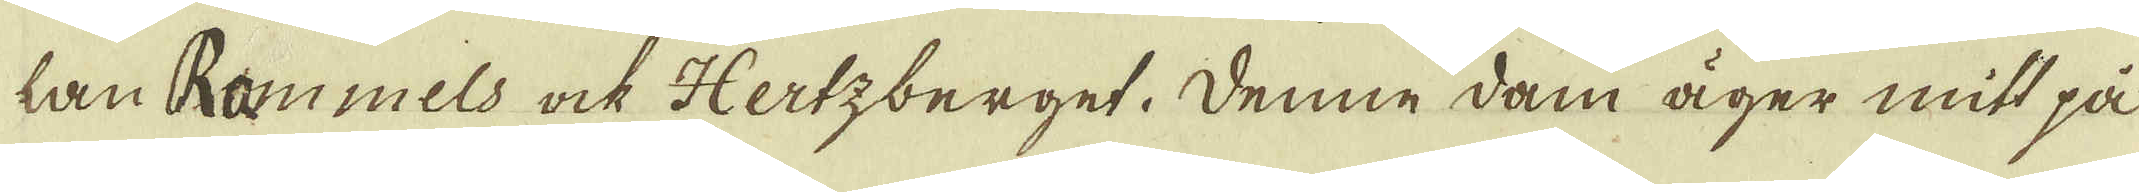lan Rammels ock Hertzberget. Denne dam äger mit på
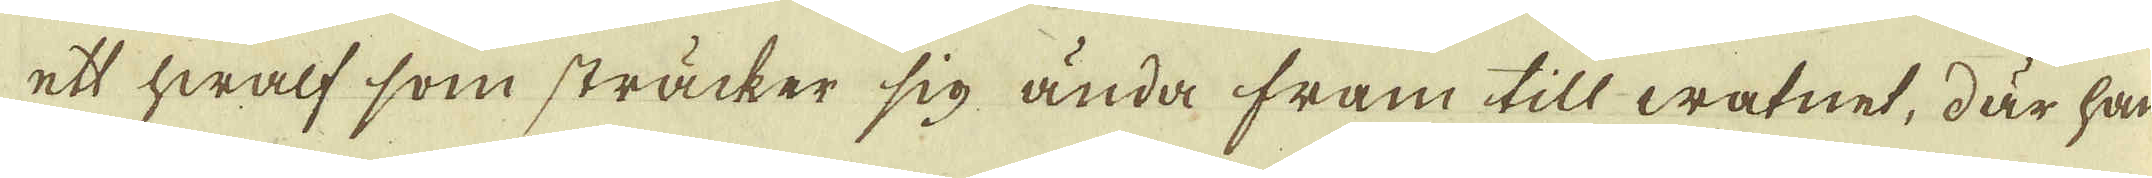et hwalf som sträcker sig ända fram till watnet, där han
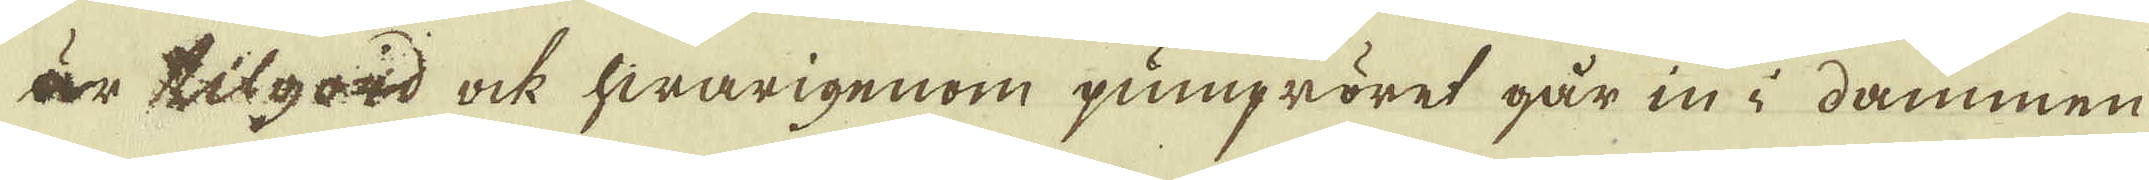är tilgord ock hwarigenom pumpröret går in i dammen
